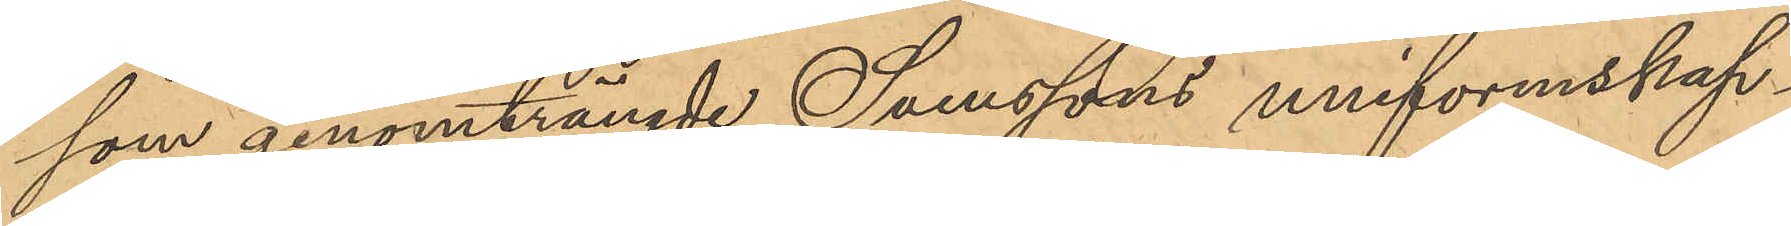som genomträngde Svenssons uniformskap¬
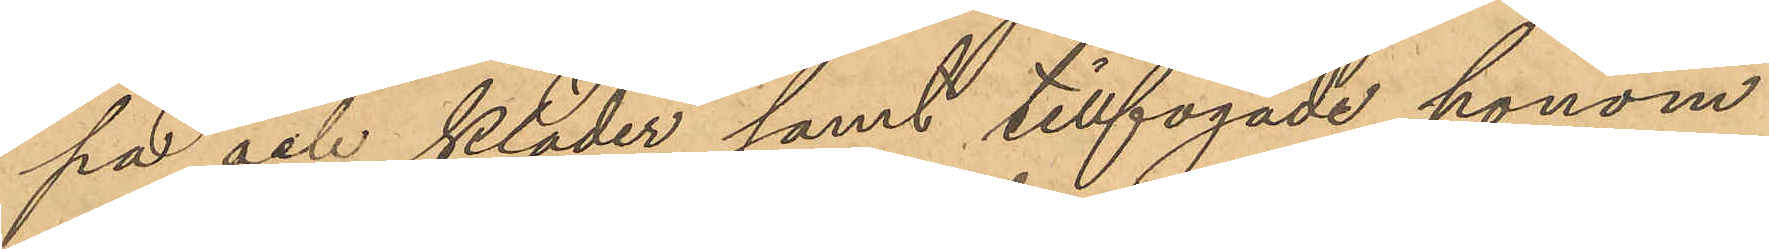pa och kläder samt tillfogade honom
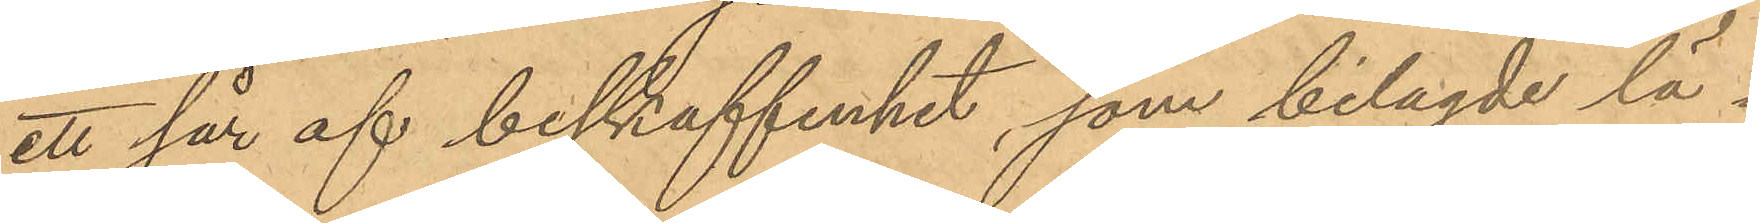ett sår af beskaffenhet, som bilagde lä¬
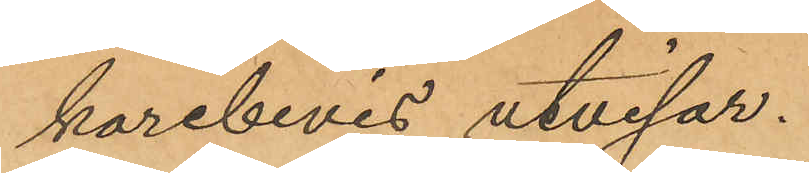karebevis utvisar.
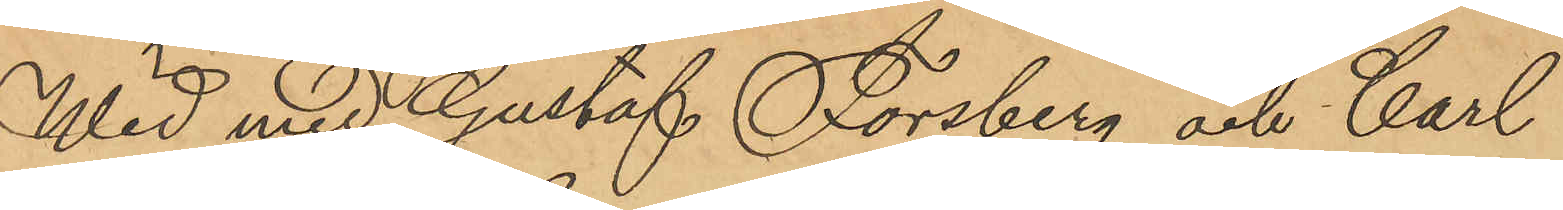Wid med Gustaf Forsberg och Carl
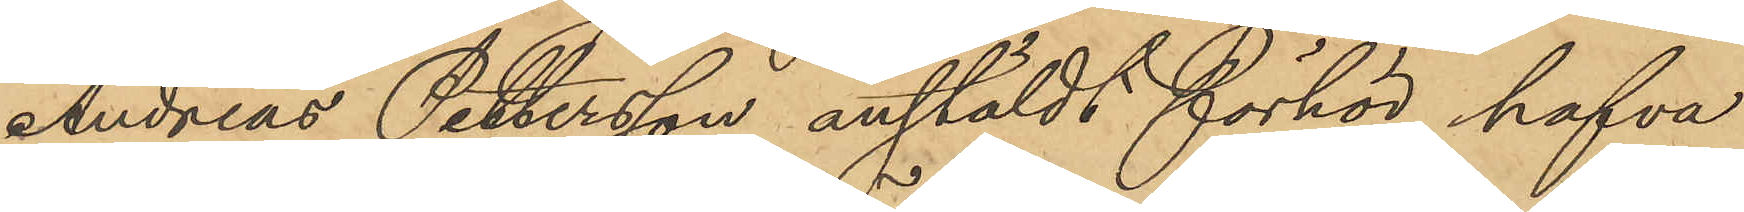Andreas Pettersson anstäldt förhör hafva
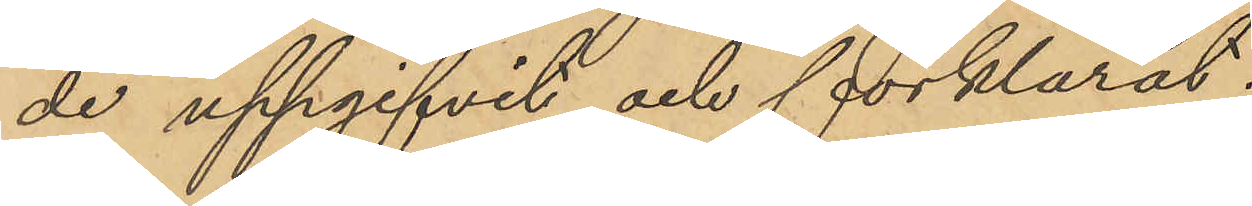de uppgifvit och förklarat.
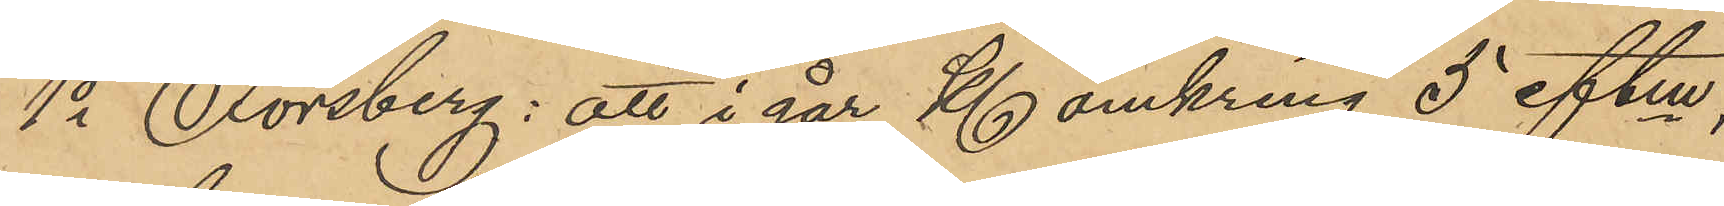1o Forsberg: att i går Kl. omkring 5 eftm,
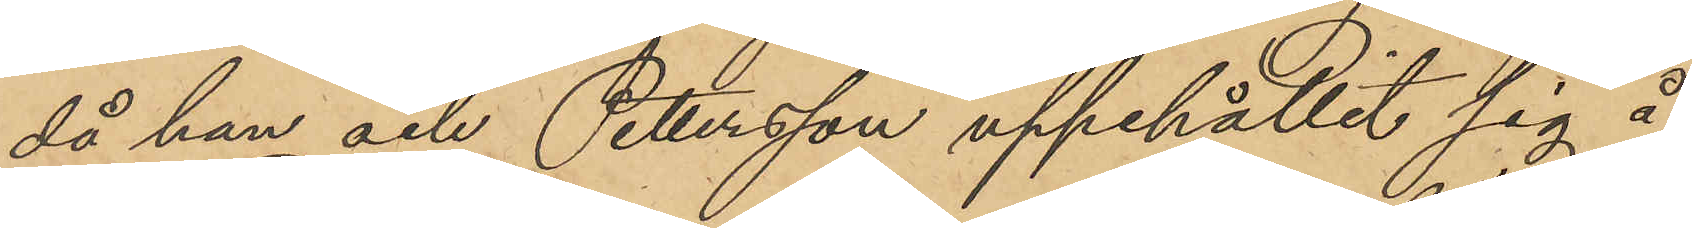då han och Petersson uppehållit sig å
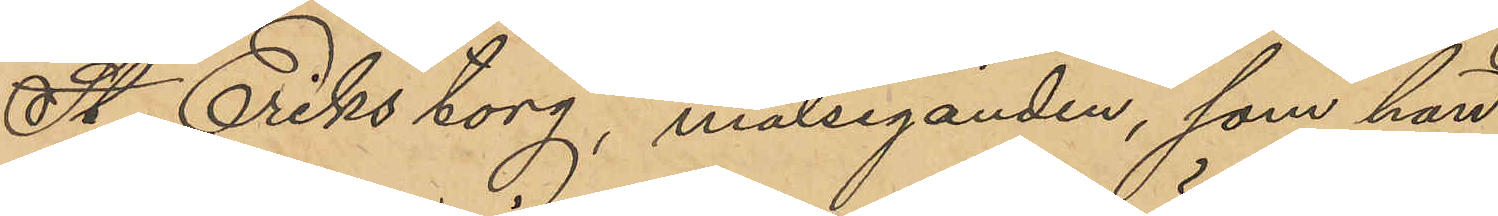St Eriks torg, målseganden, som han
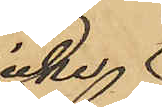icke
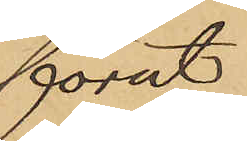förut
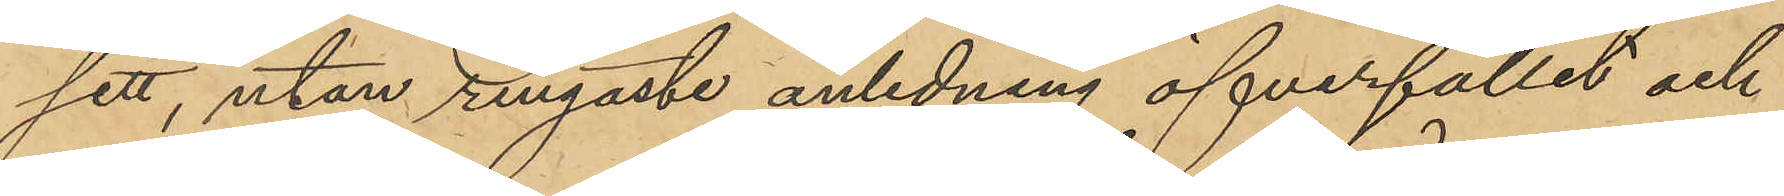sett, utan ringaste anledning öfverfallit och
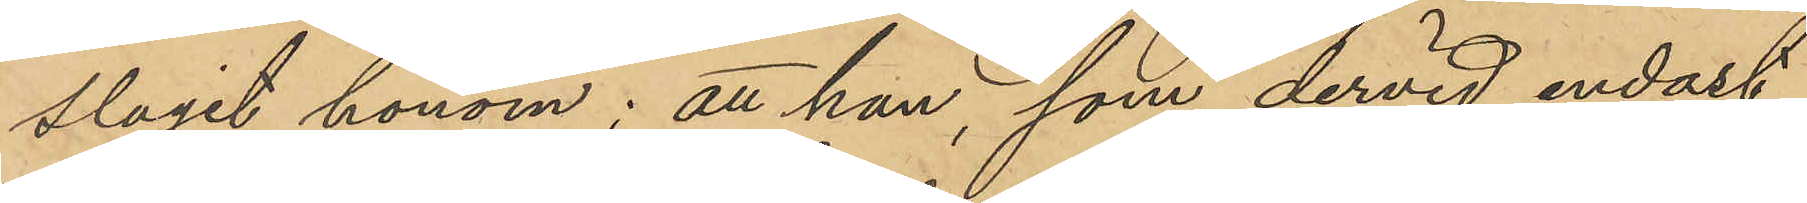slagit honom; att han, som dervid endast
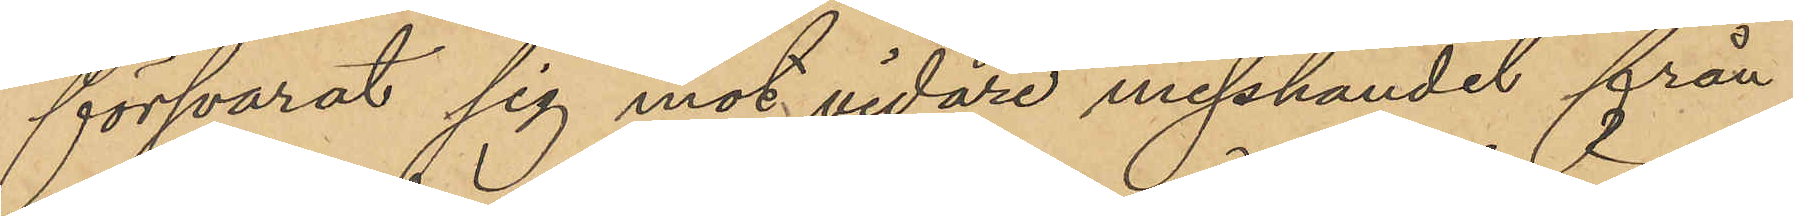försvarat sig mot vidare misshandel från
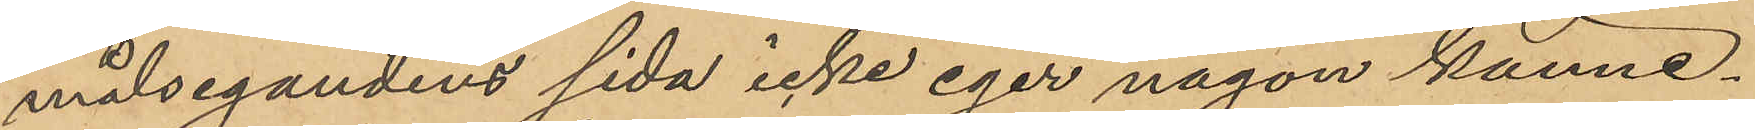målsegandens sida icke eger någon känne¬
